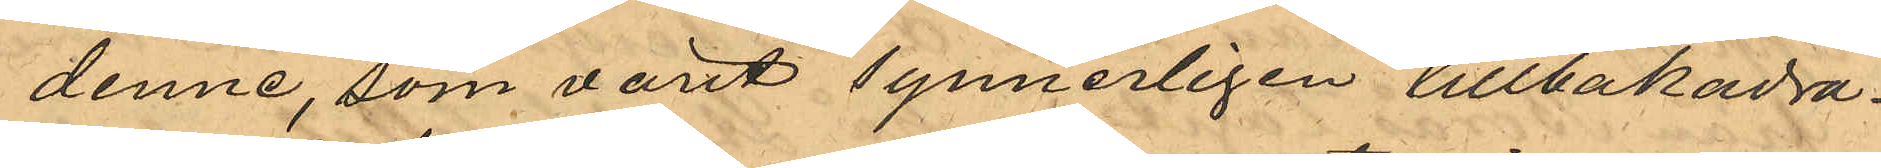denne, som varit synerligen tillbakadra¬
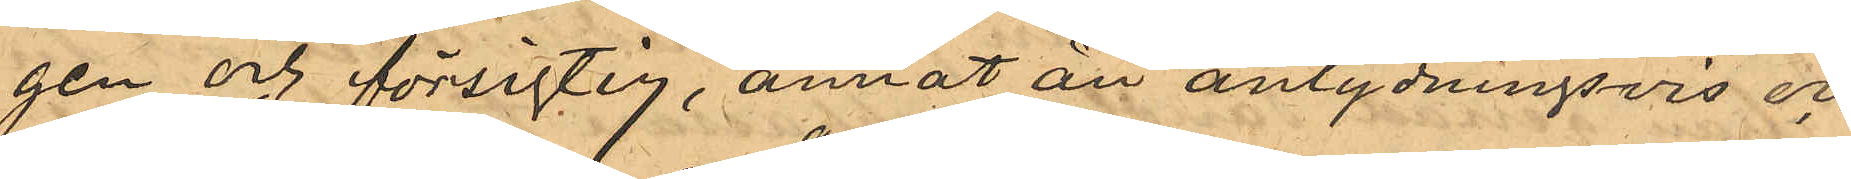gen och försigtig, annat än antydningsvis och
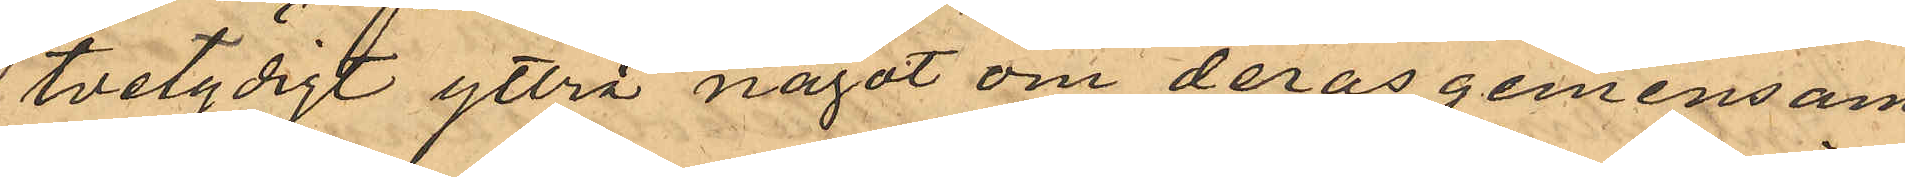tvetydigt yttra något om deras gemensam¬
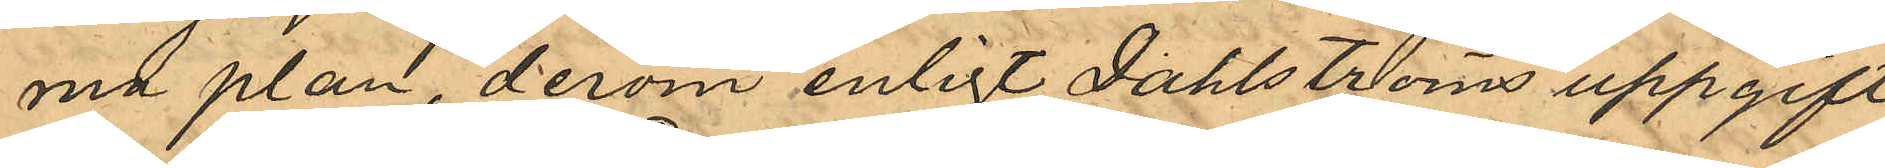md plan, derom enligt Dahlströms uppgift
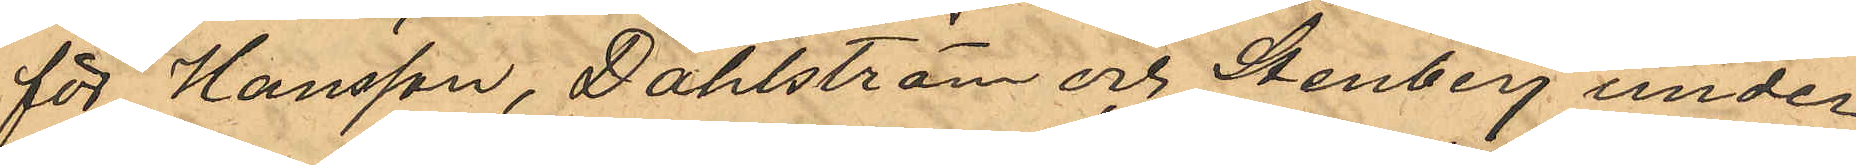för Hansson, Dahlström och Stenberg under
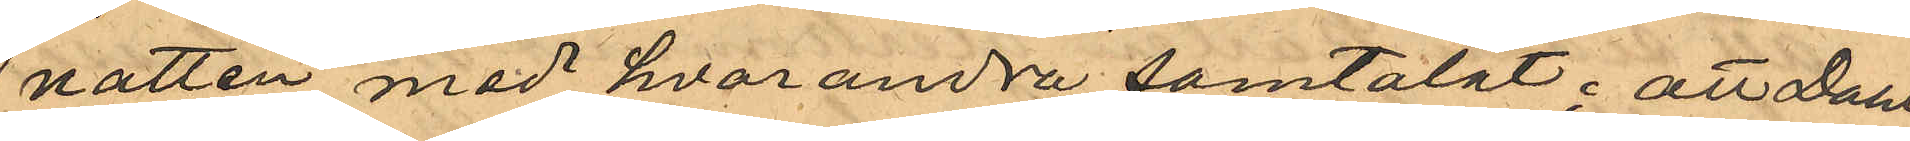natten med hvarandra samtalat; att Dahl¬
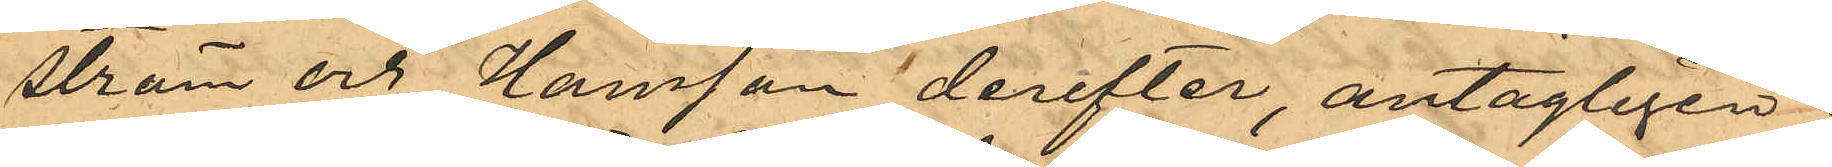ström och Hansson derefter, antagligen i
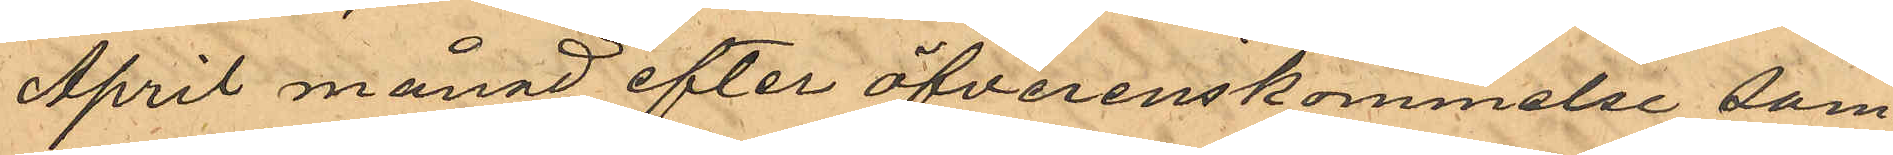April månad efter öfverenskommelse sam¬
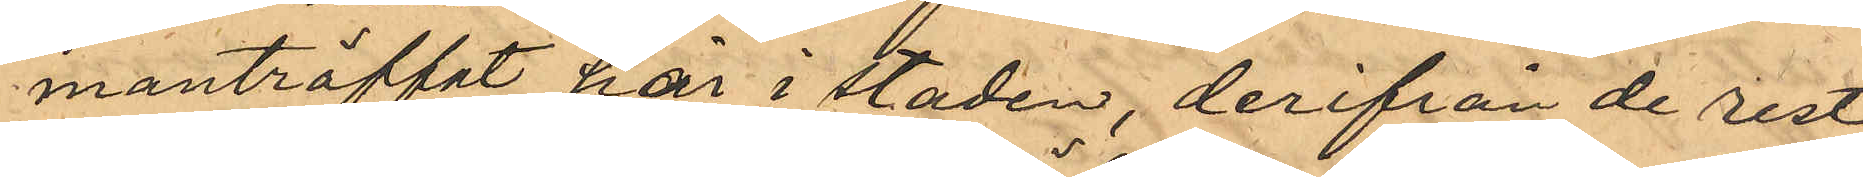manträffat här i staden, derifrån de rest
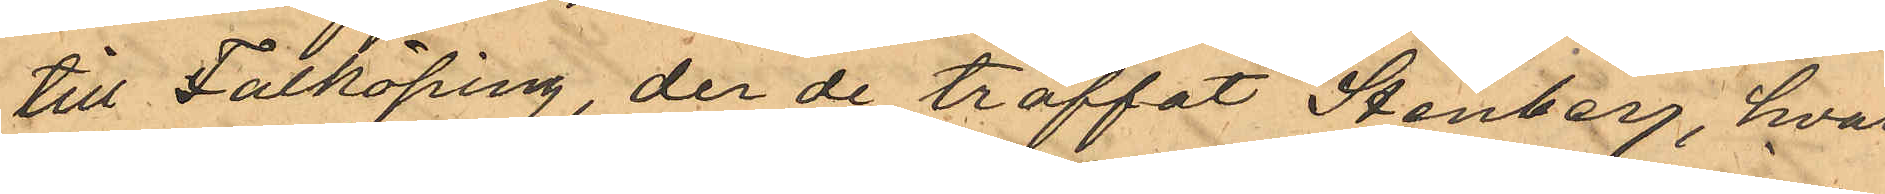till Falköping, der de träffat Stenberg, hvar¬
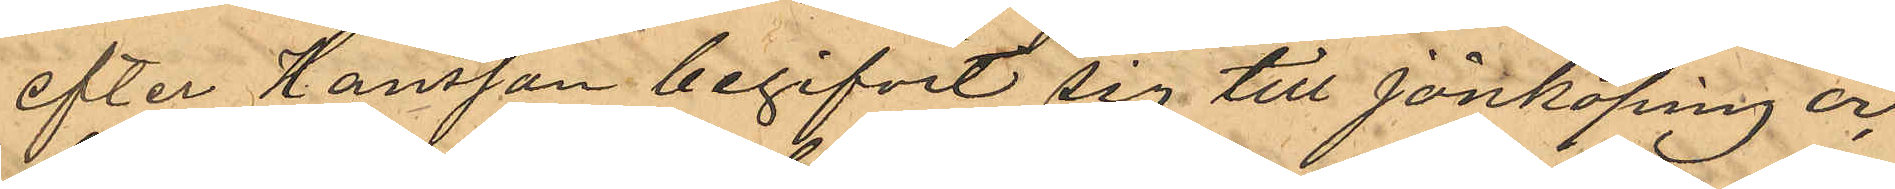efter Hansson begifvit sig till Jönköping och
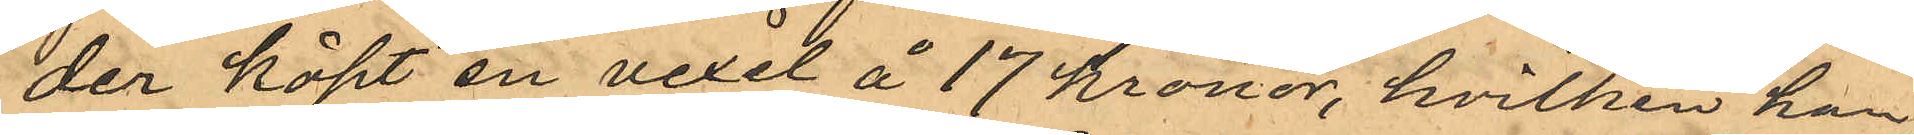der köpt en vexel å 17 kronor, hvilken han,
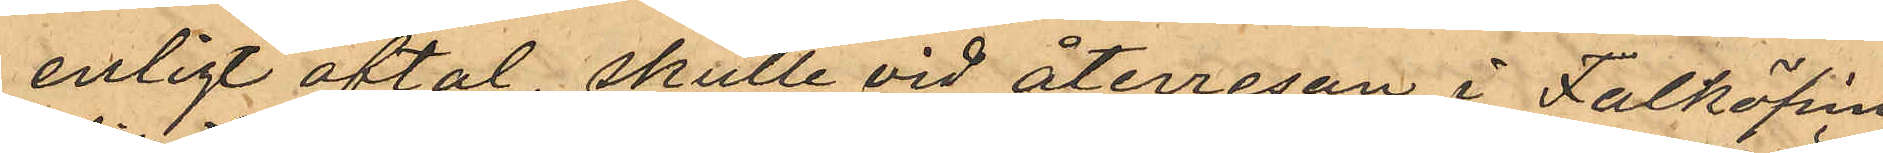enligt aftal, skulle vid återresan i Falköping
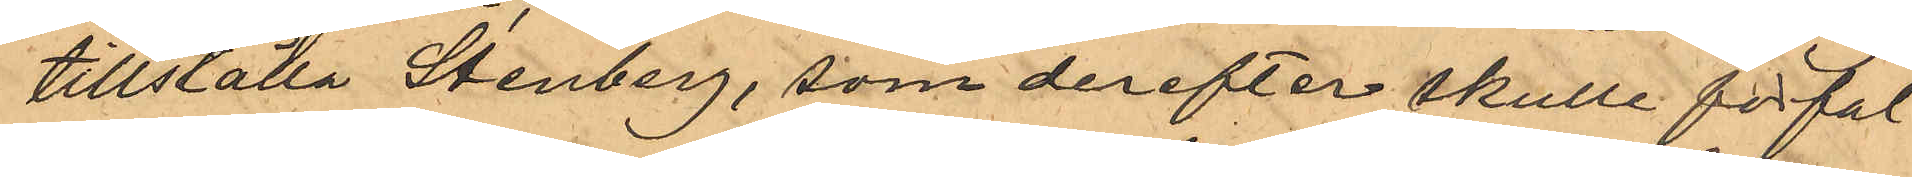tillställa Stenberg, som derefter skulle förfal¬
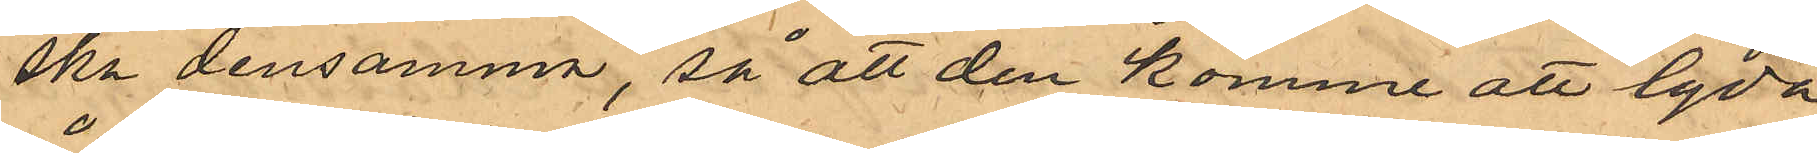ska densamma, så att den komme att lyda
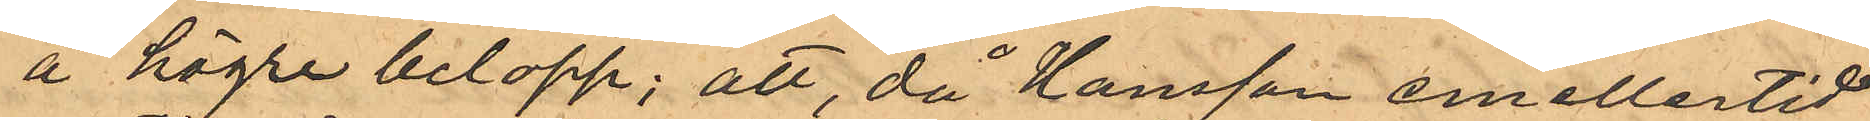å högre belopp; att, då Hansson emellertid
